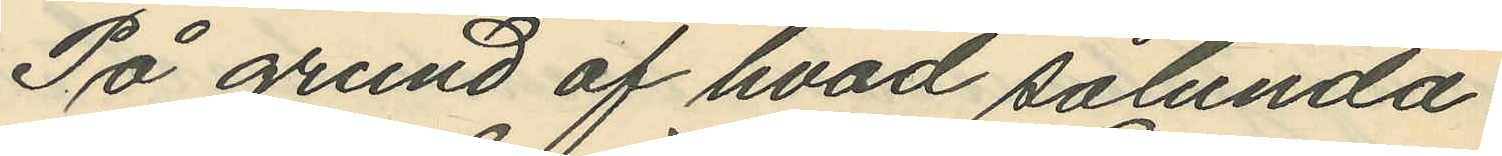På grund af hvad sålunda
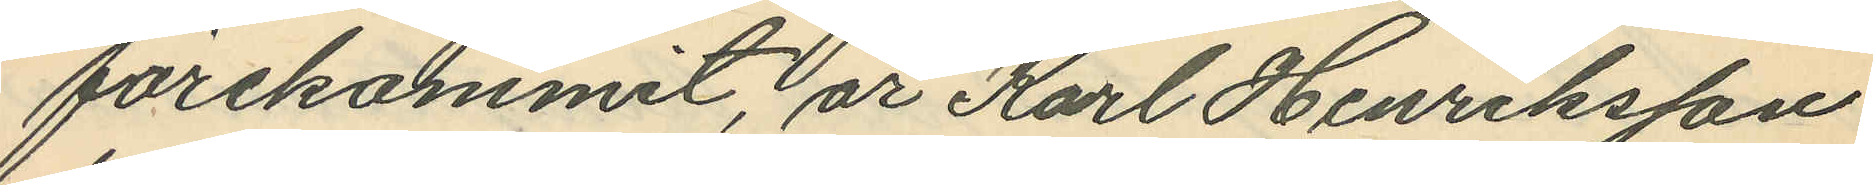förekommit, är Karl Henriksson
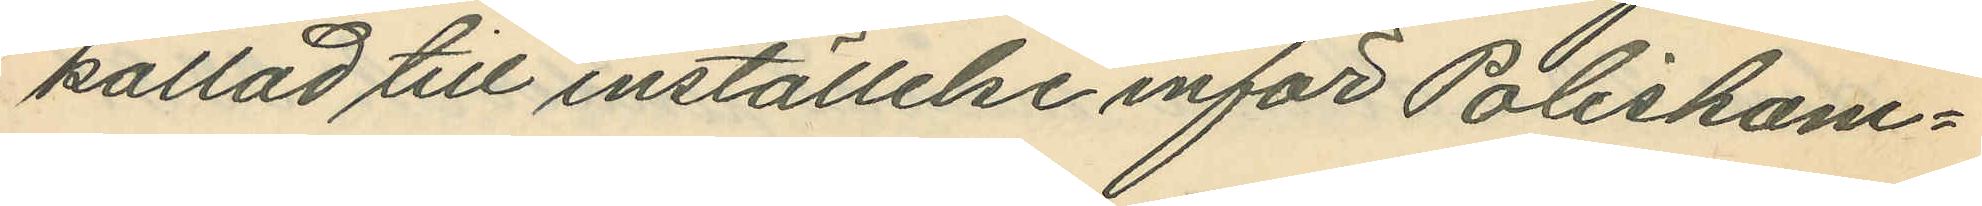kallad till inställelse inför Poliskam¬
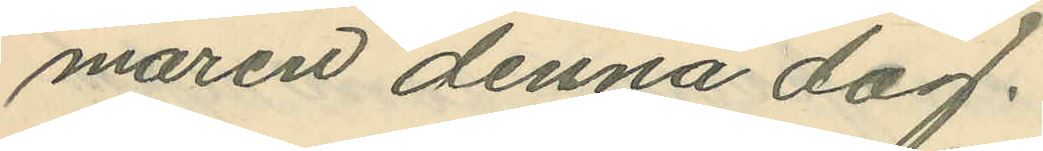maren denna dag.
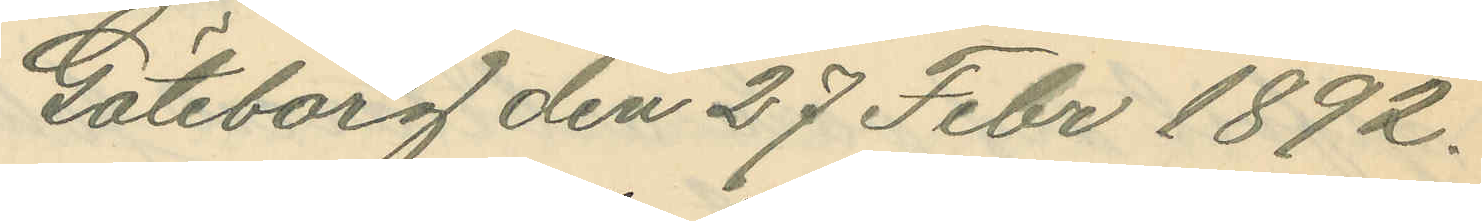Göteborg den 27 Febr 1892.
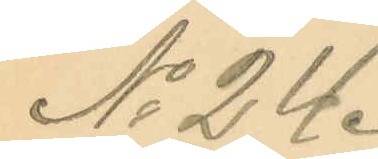No 24.
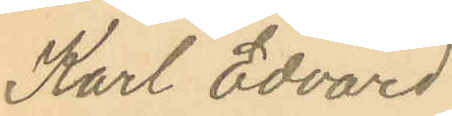Karl Edvard
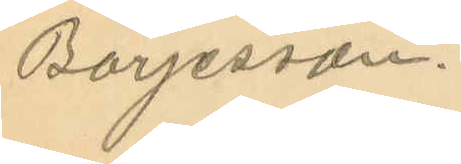Börjesson.
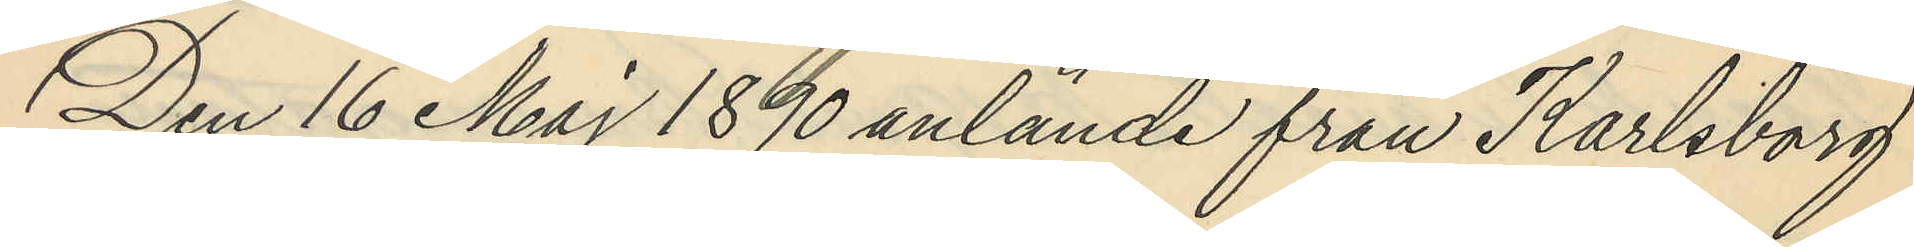Den 16 Maj 1890 anlände från Karlsborg
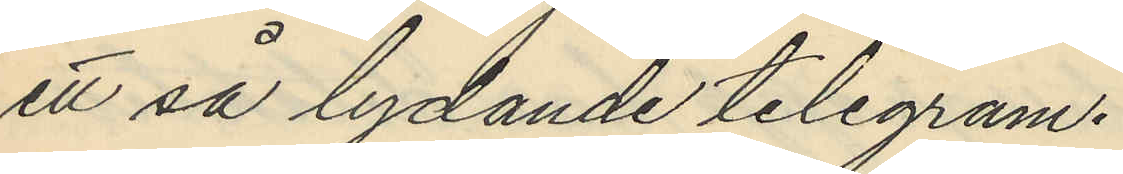ett så lydande telegram.
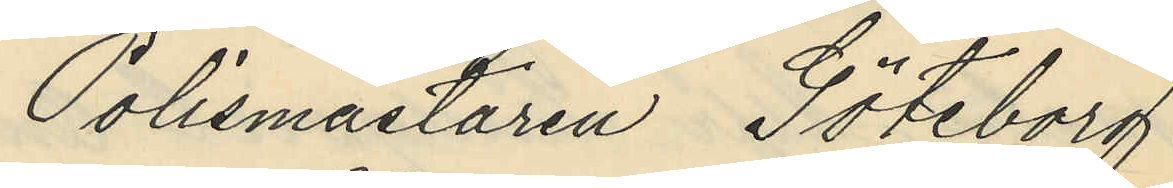Polismästaren Göteborg
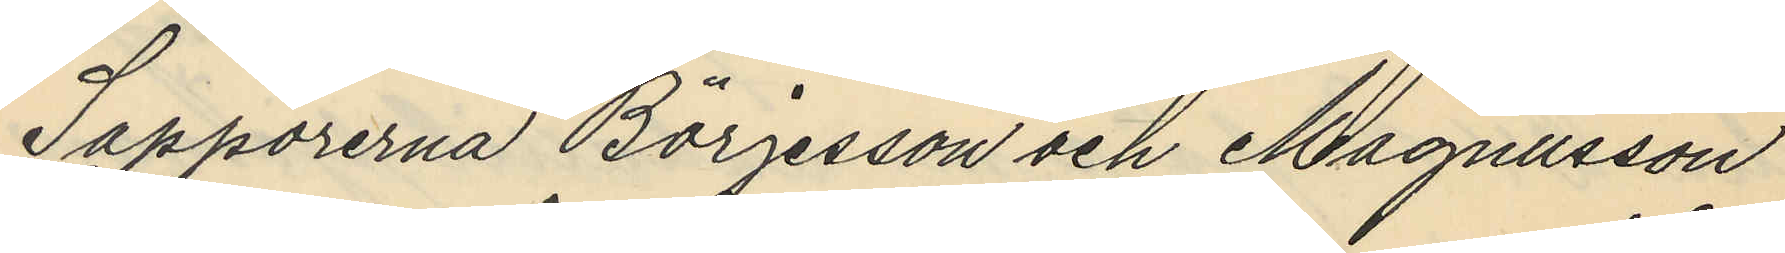Sappörerna Börjesson och Magnusson
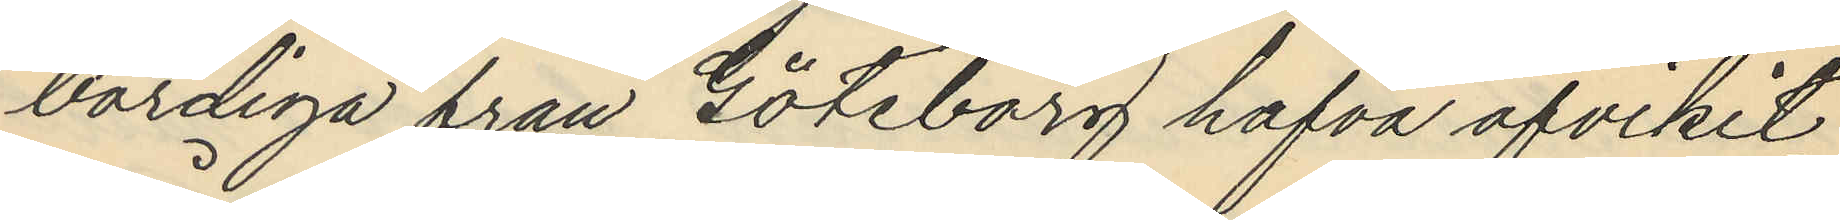bördiga från Göteborg hafva afvikit
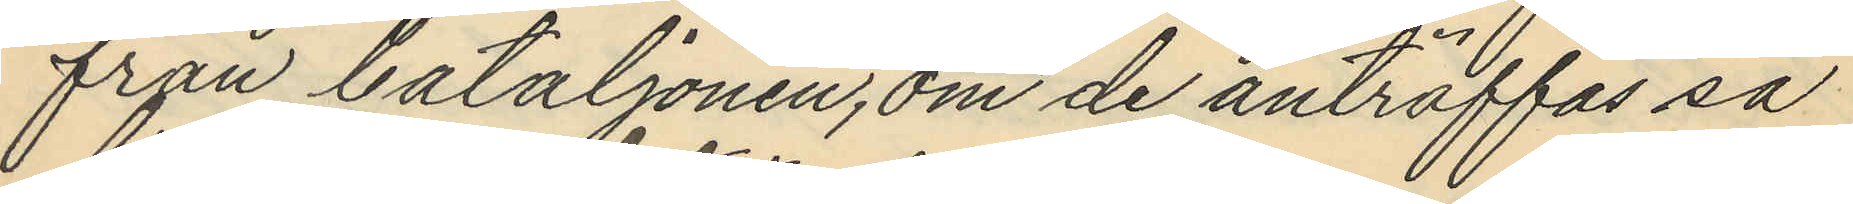från bataljonen, om de anträffas så
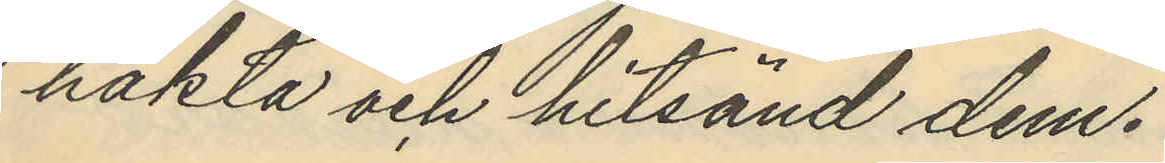häkta och hitsänd dem.
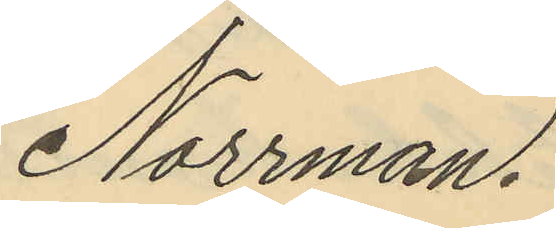Norrman.
